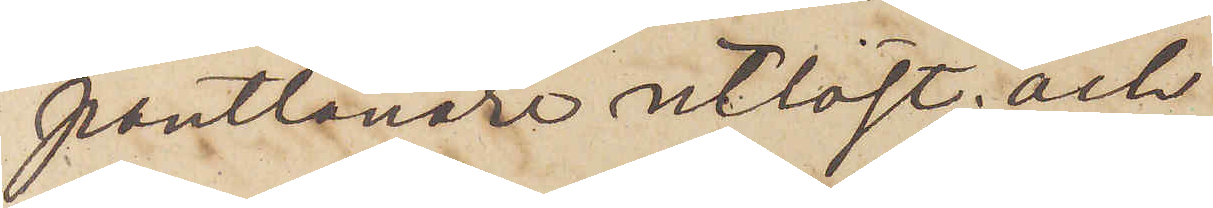pantlånare utlöst; och
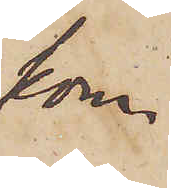kom¬
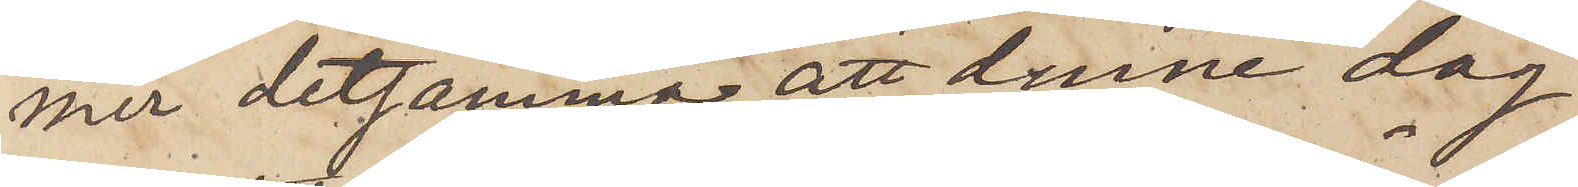mer detsamma att denne dag
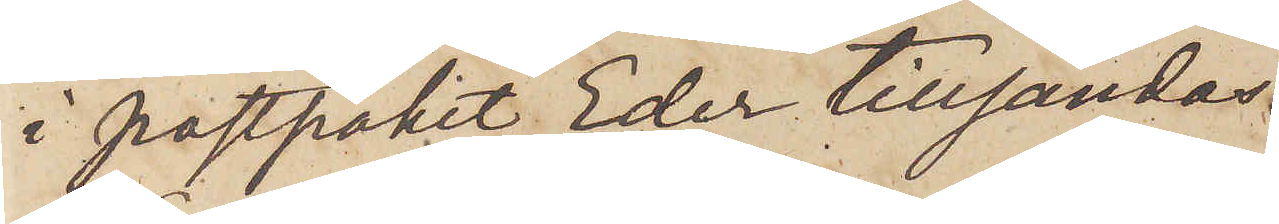i postpaket Eder tillsändas.
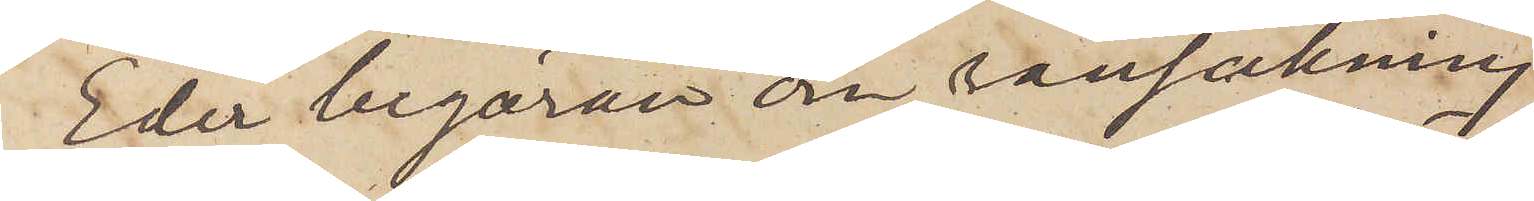Eder begäran om ransakning
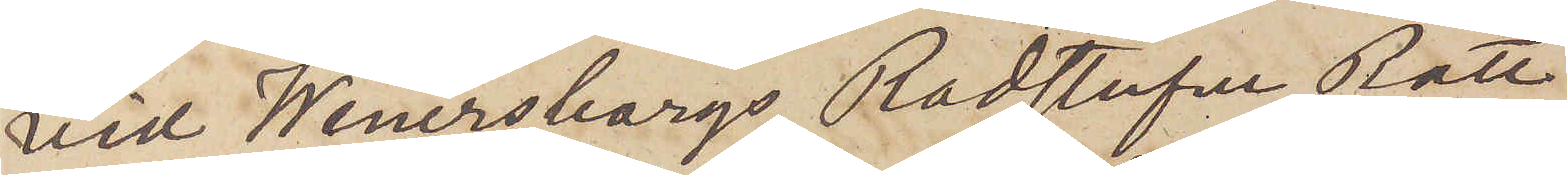vid Wenersborgs Rådstufve Rätt
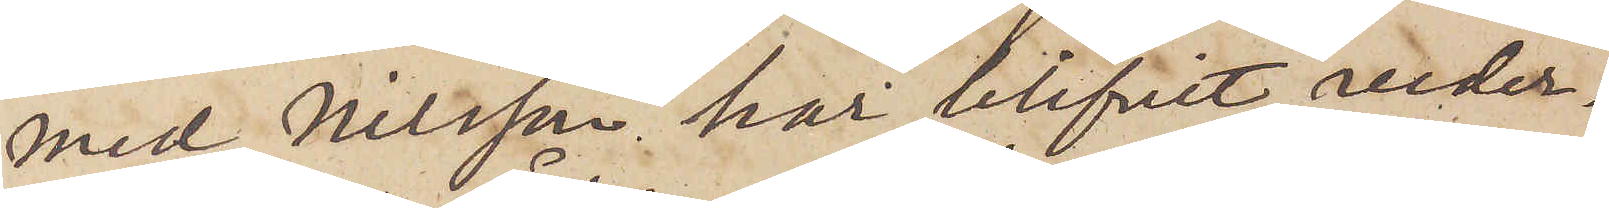med Nilsson har blifvit veder¬
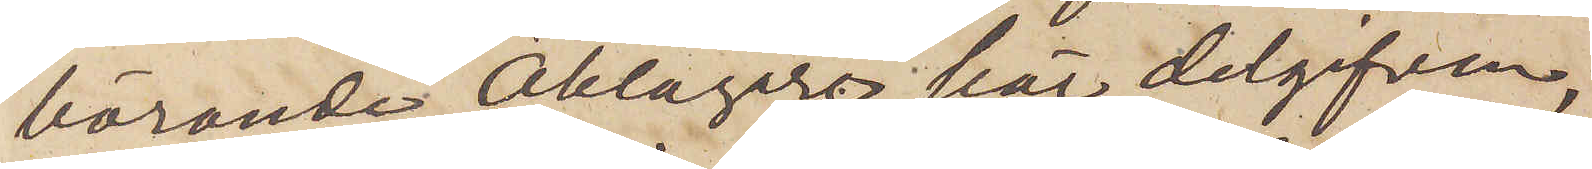börande Åklagare här delgifven,
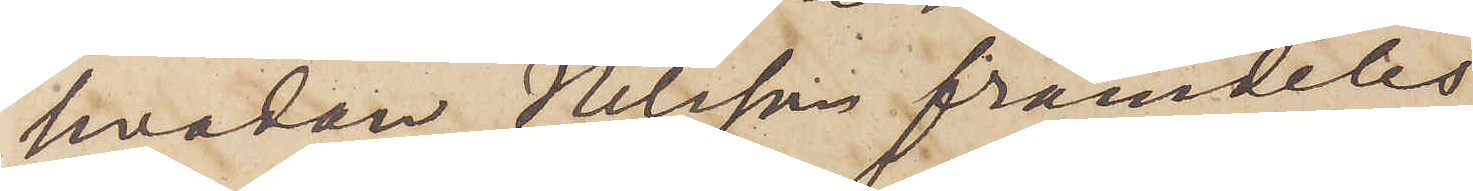hvadan Nilsson framdeles
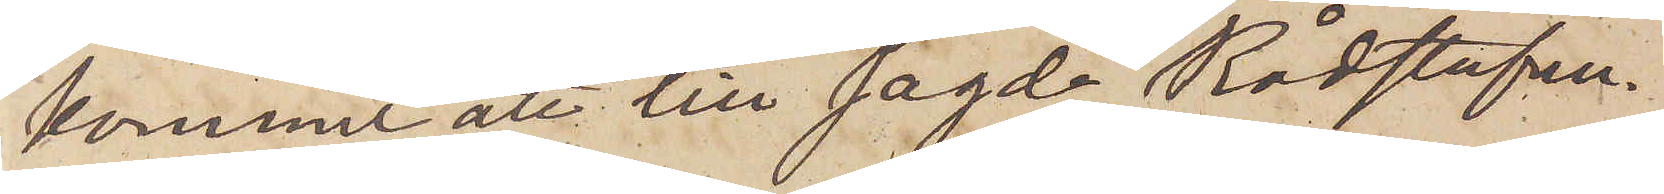kommer att till sagde Rådstufvu¬
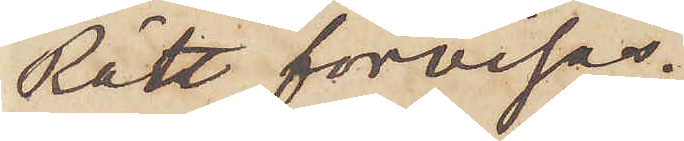Rätt förvisas.
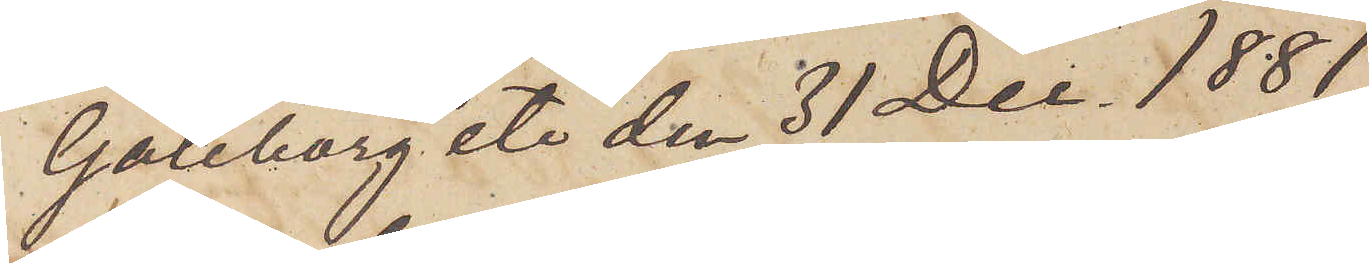Göteborg etc. den 31 Dec. 1881.
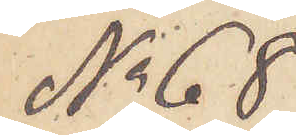No 68
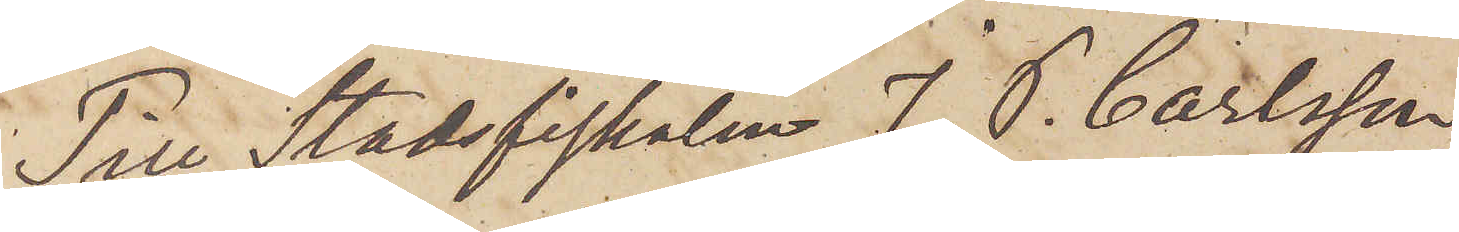Till Stadsfiskalen J. P. Carlsson
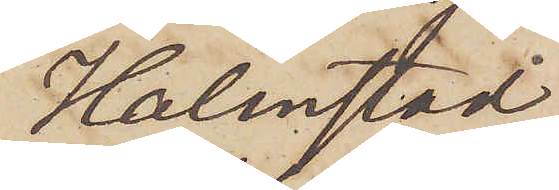Halmstad.
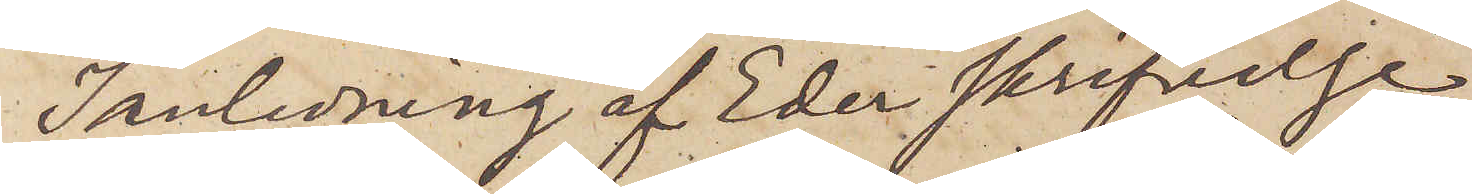I anledning af Eder skrifvelse
